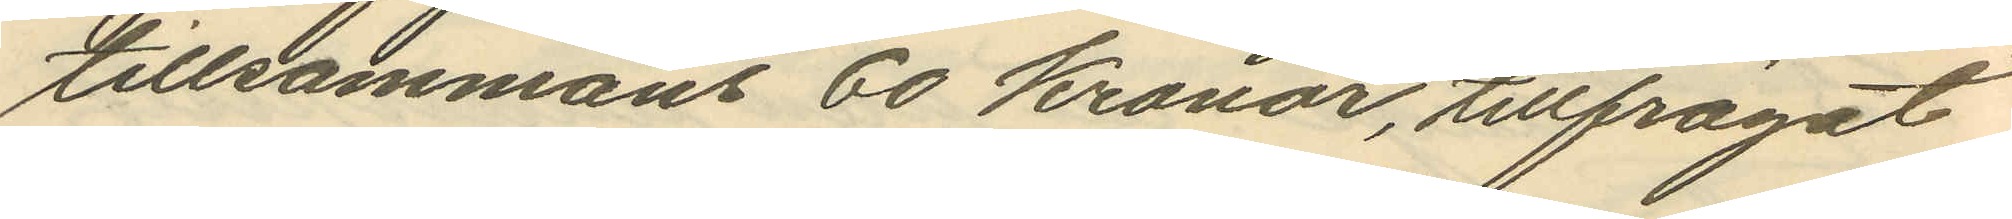tillsammans 60 Kronor, tillfrågat
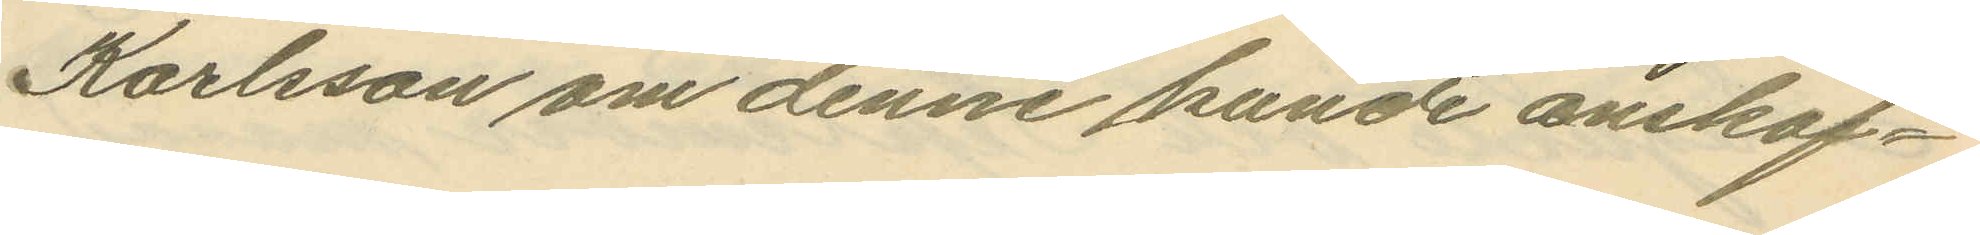Karlsson om denne kunde anskaf¬
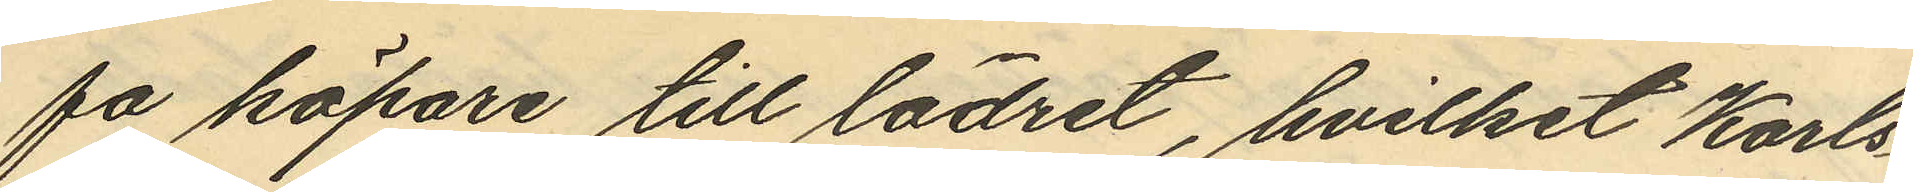fa köpare till lädret, hvilket Karls¬
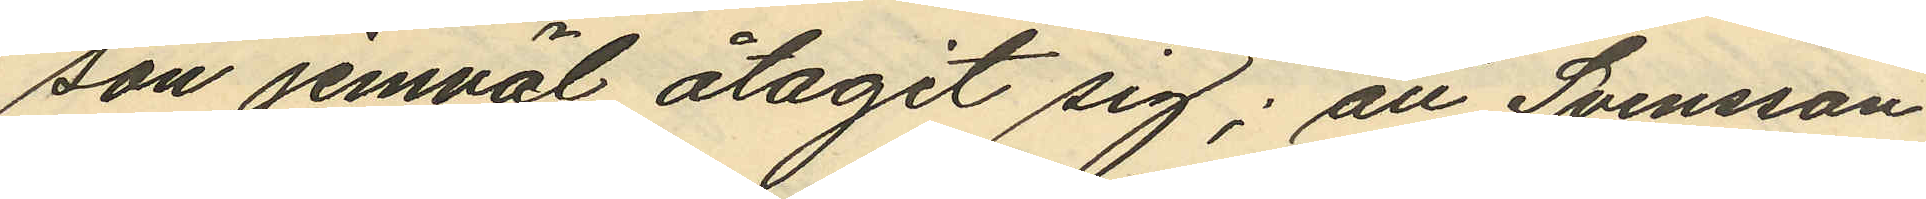son jemväl åtagit sig; att Svensson
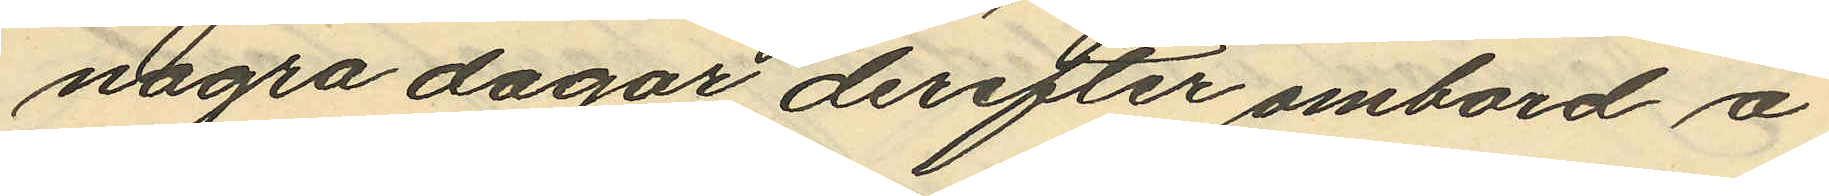några dagar derefter ombord å
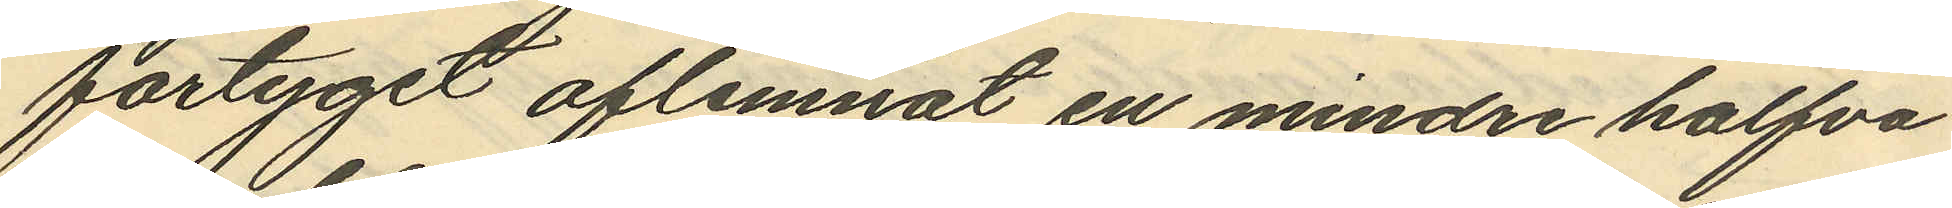fartyget aflemnat en mindre halfva
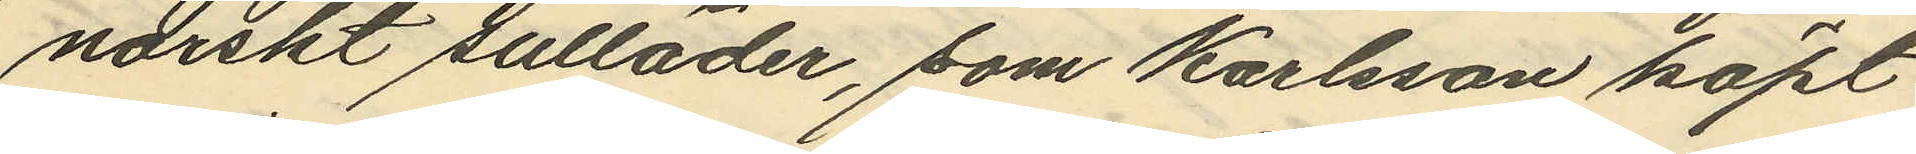norskt sulläder, som Karlsson köpt
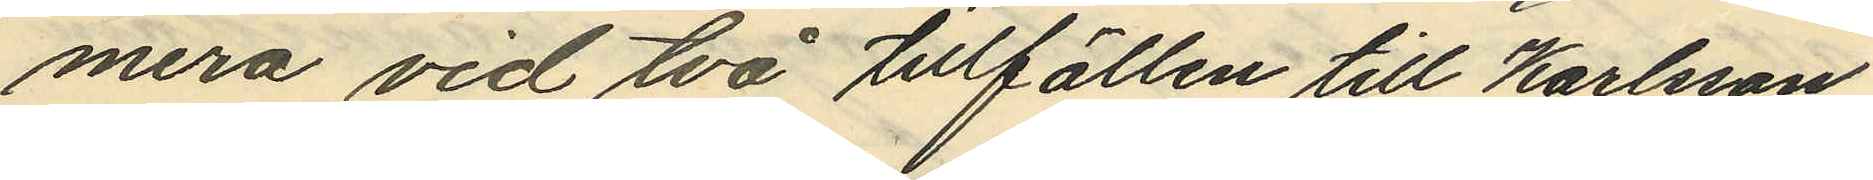mera vid två tillfällen till Karlsson
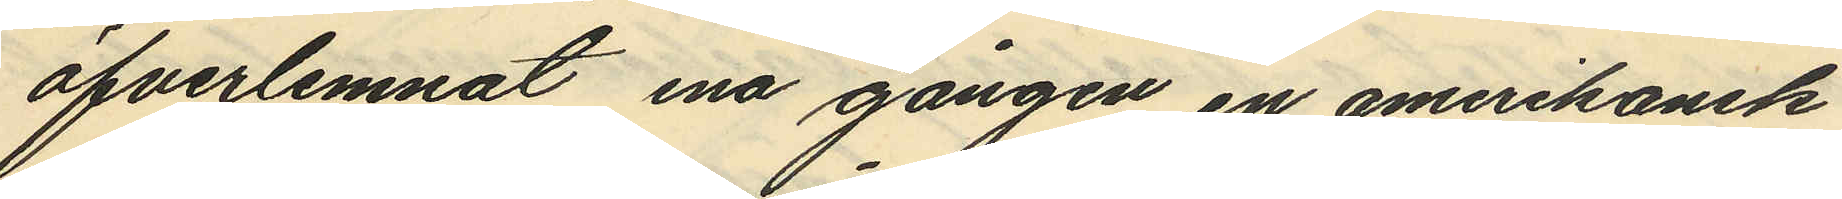öfverlemnat ena gången en amerikansk
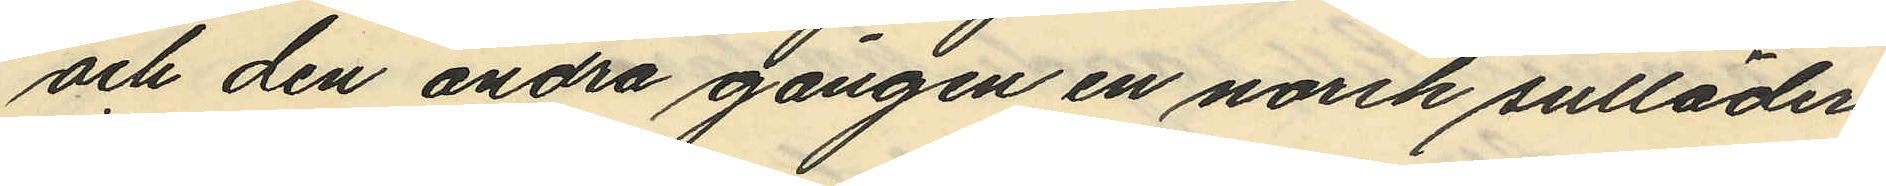och den andra gången en norsk sulläder
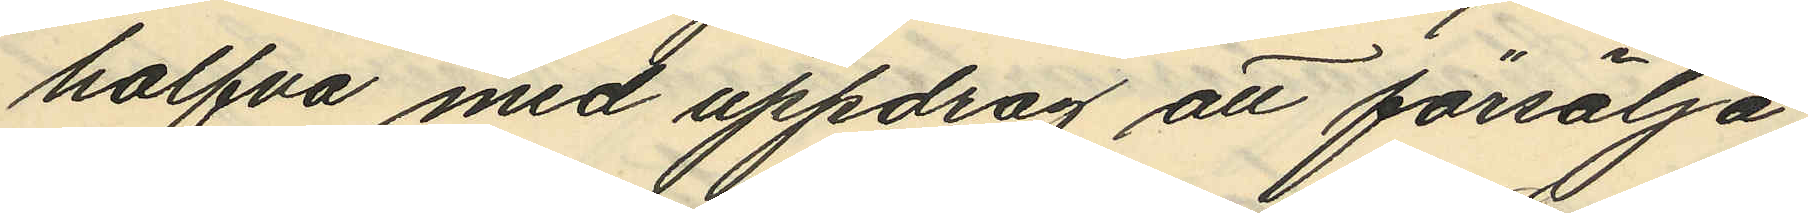halfva med uppdrag att försälja
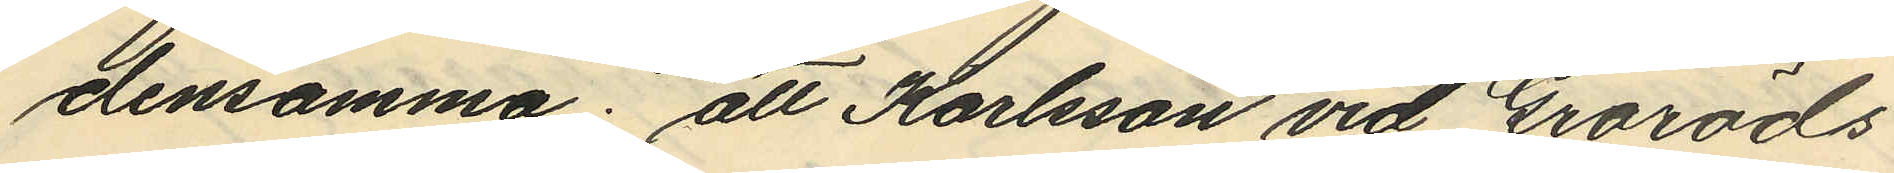densamma; att Karlsson vid Groröds
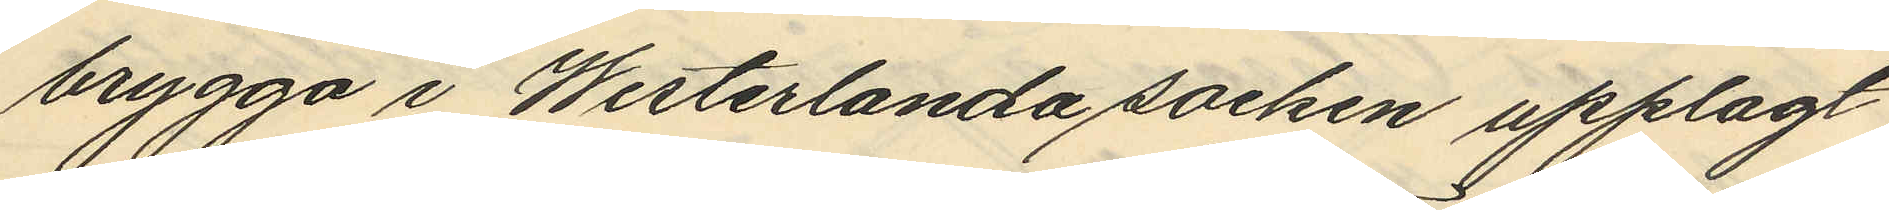brygga i Westerlanda socken upplagt
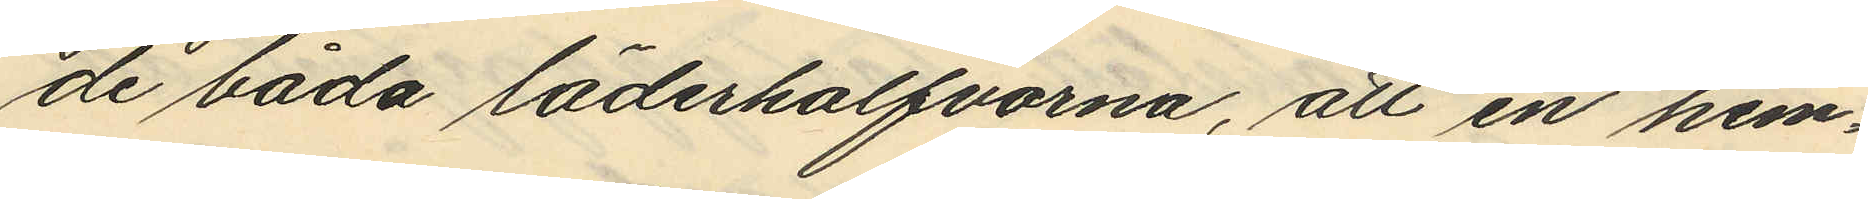de båda läderhalfvorna, att en hem¬
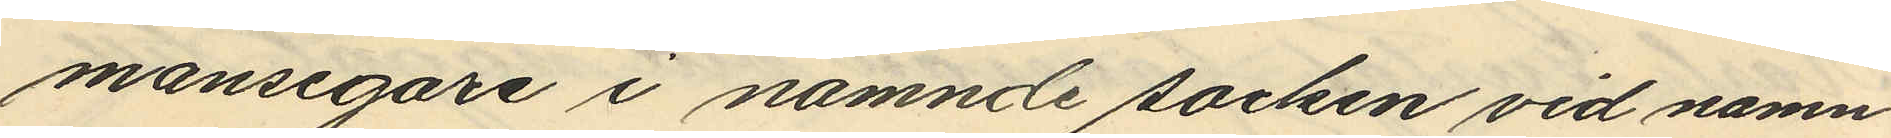mansegare i namnde socken vid namn
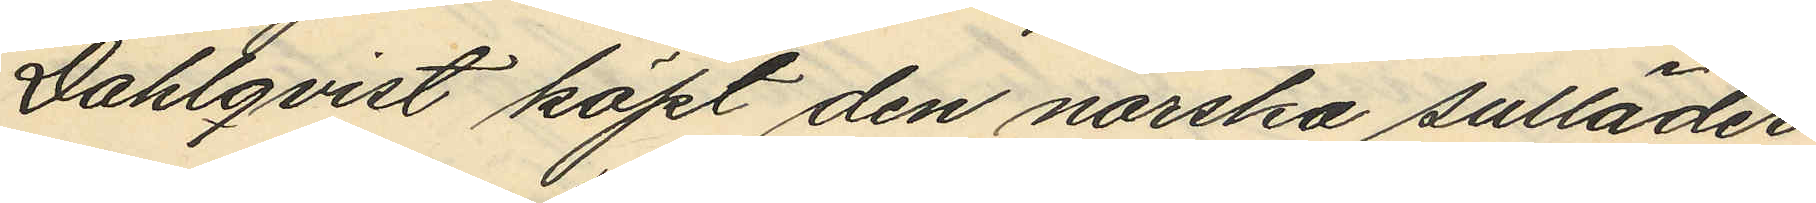Dahlqvist köpt den norska sulläder
